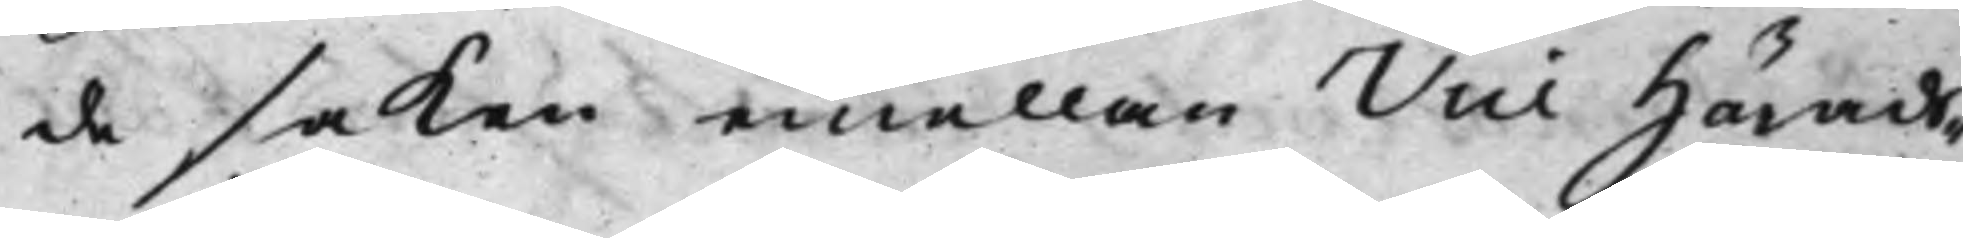de saken emellan Vice Härads¬
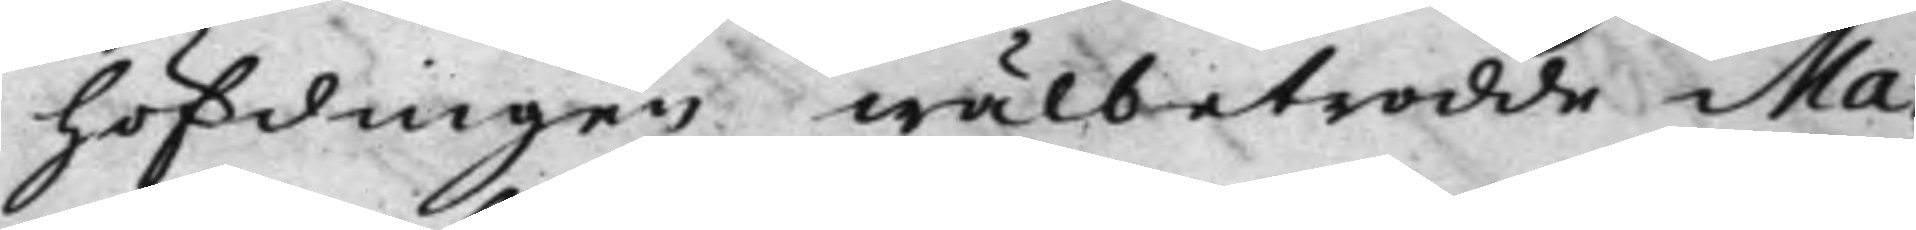höfdingen wälbetrodde Ma¬
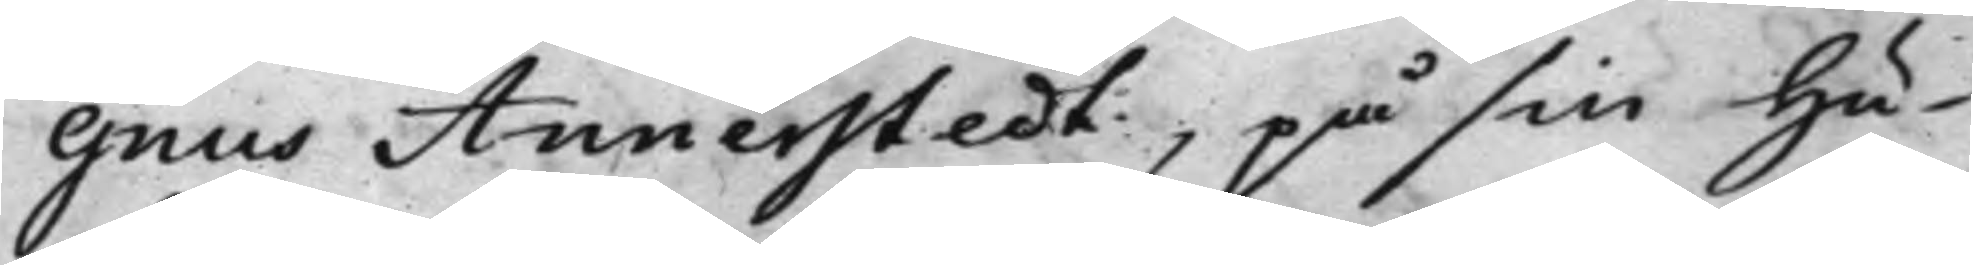gnus Annerstedt, på sin Hu¬
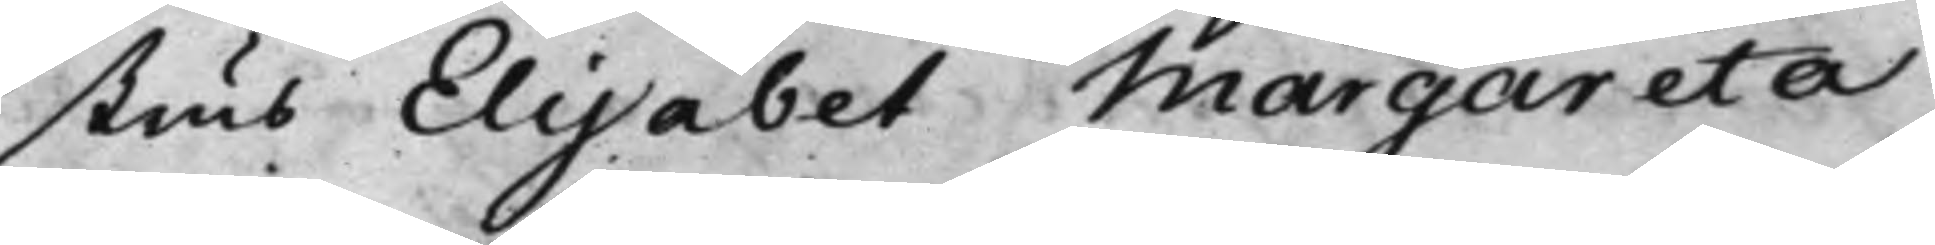strus Elisabet Margareta
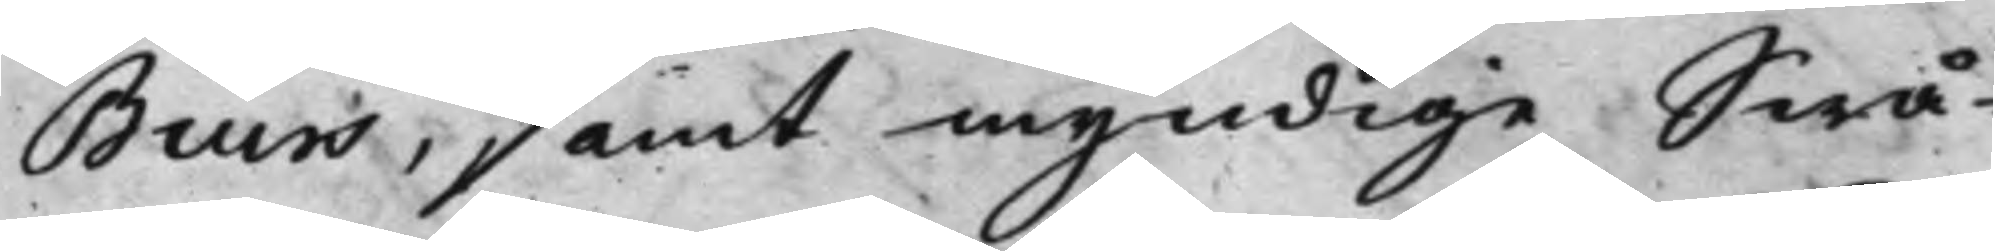Biurs, samt myndige Swå¬
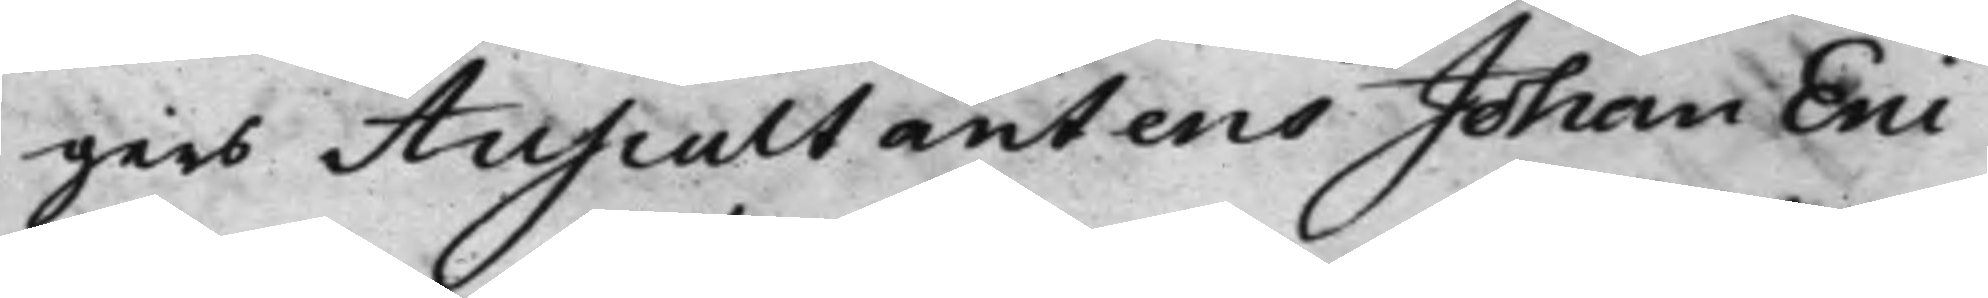gers Auscultantens Johan Eric
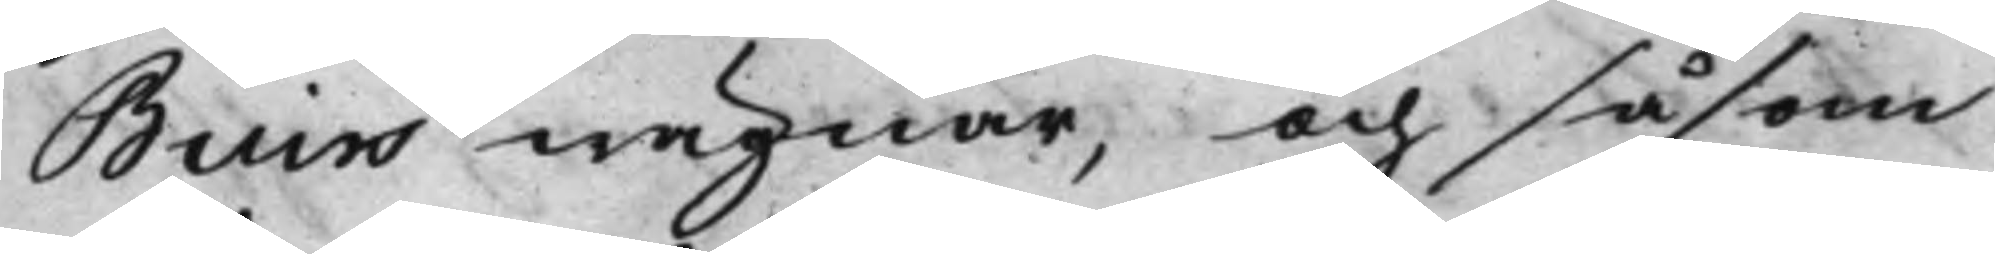Biurs wägnar, och såsom
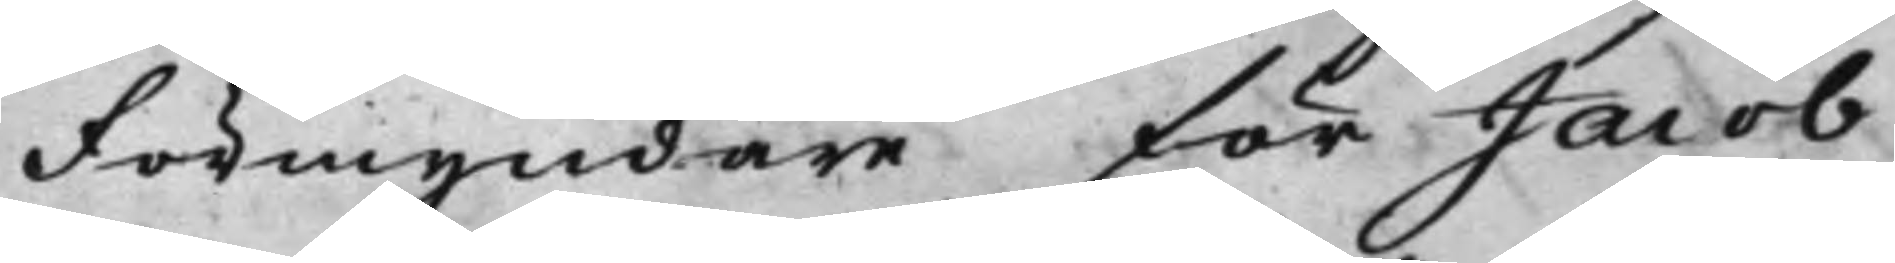Förmyndare för Jacob
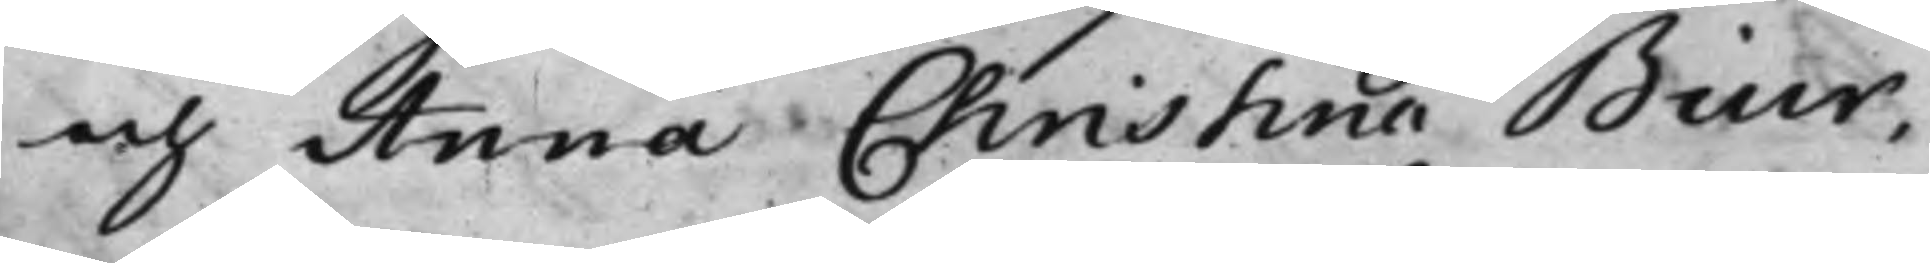och Anna Christina Biur,
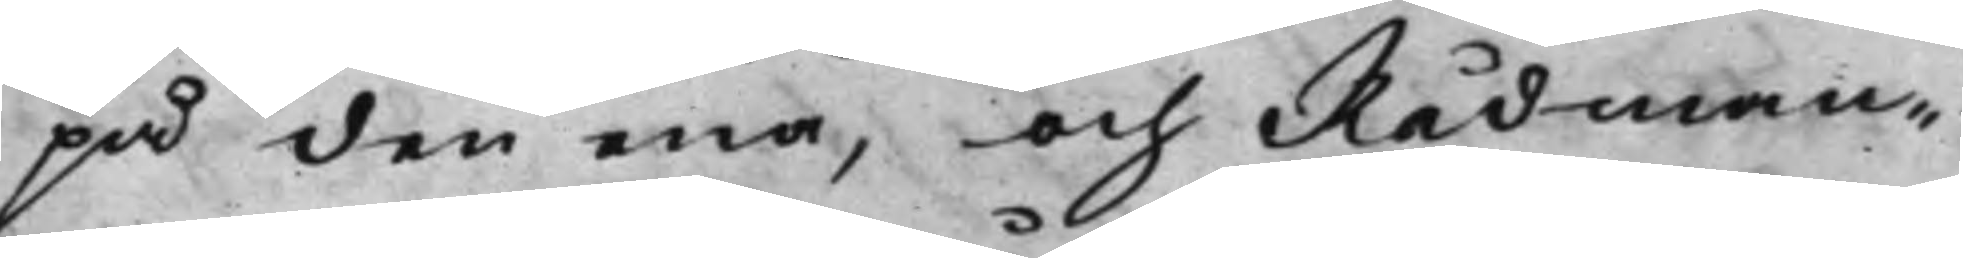på den ena, och Rådman¬
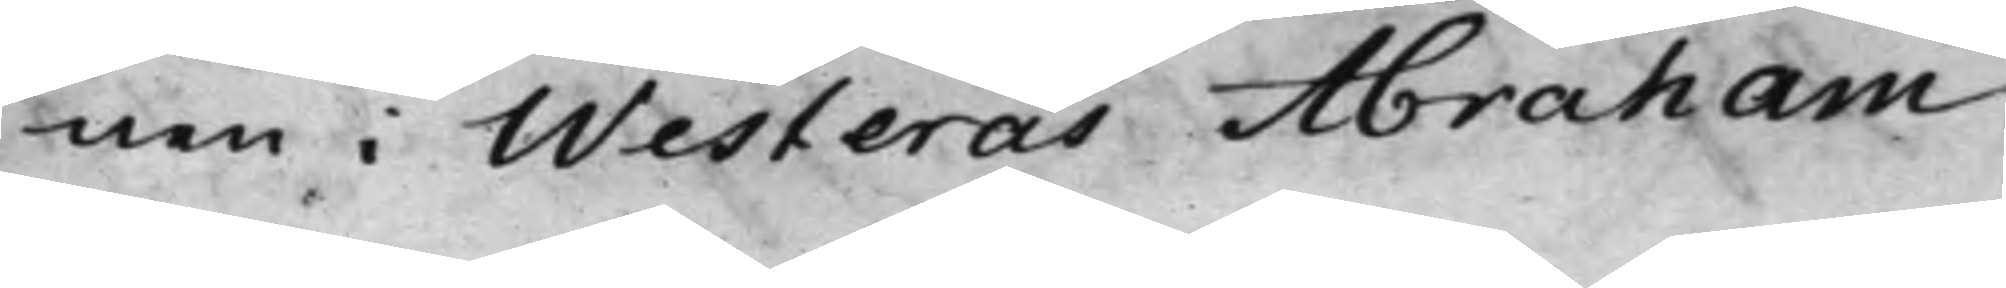nen i Westerås Abraham
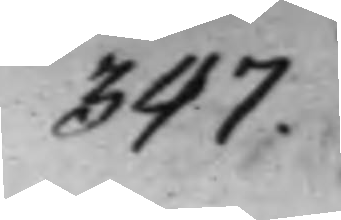347.
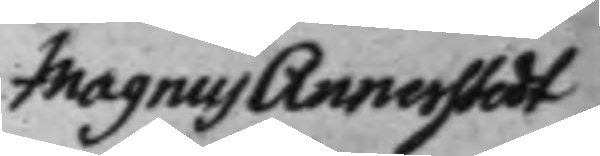Magnus Annerstedt
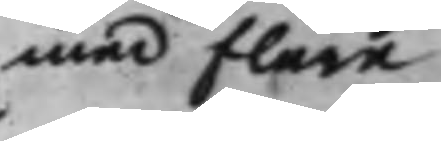med flere
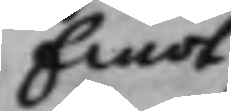Emot
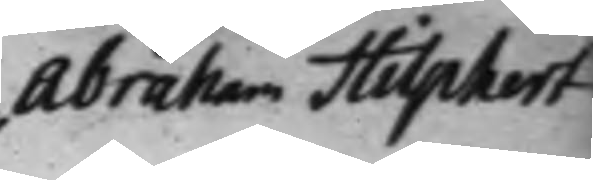Abraham Hilphert
